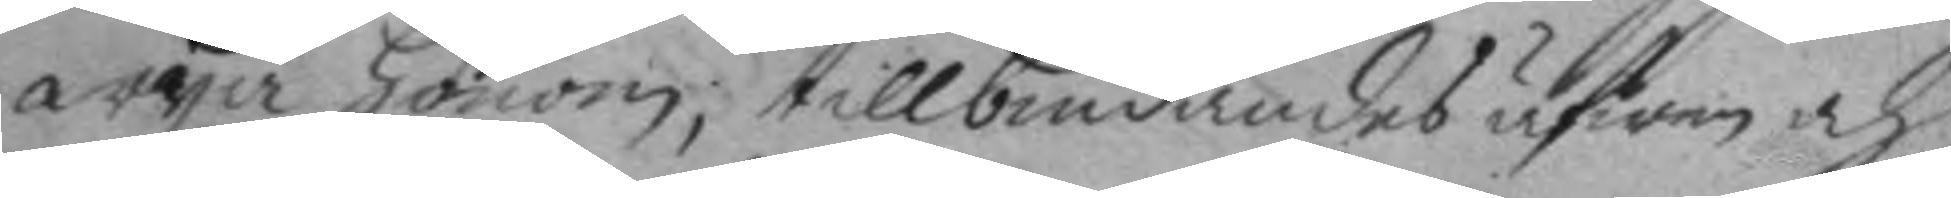wyga honom; tillbiudandes äfwen och
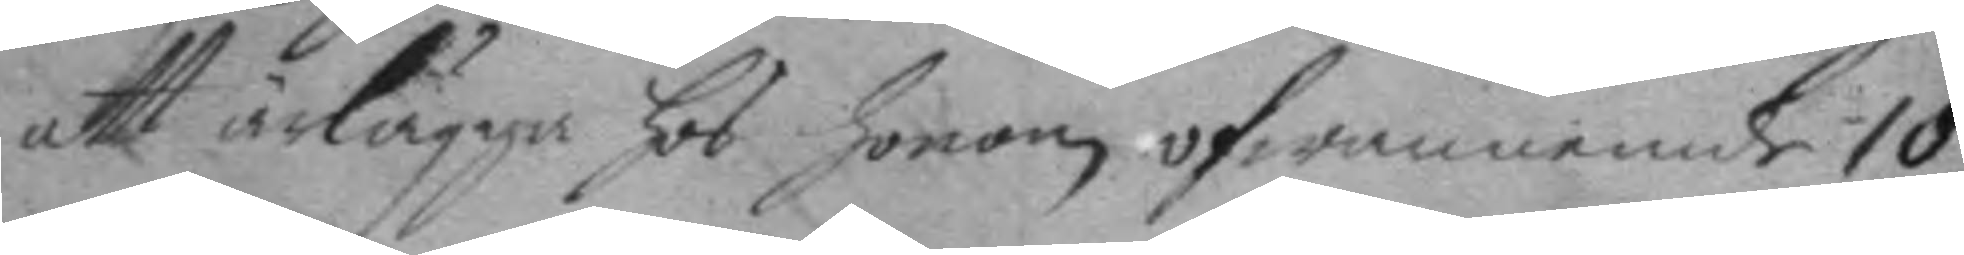att ärlägga hos honom ofwannemde 10
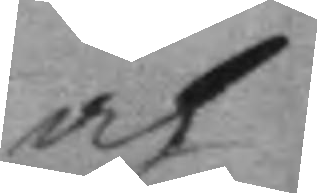och
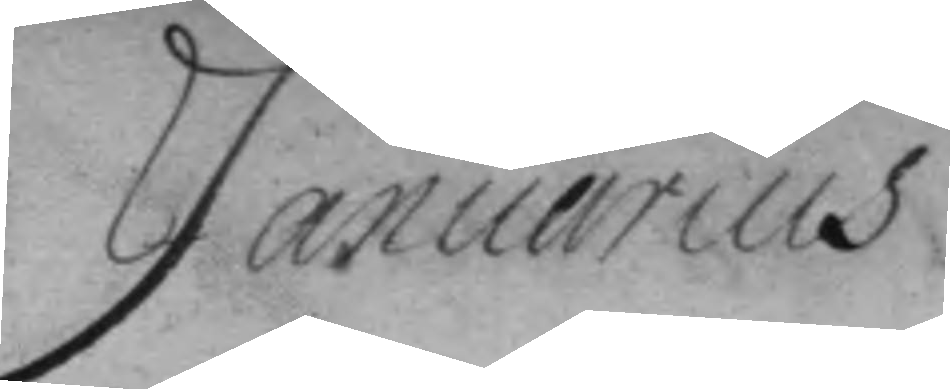Januarius
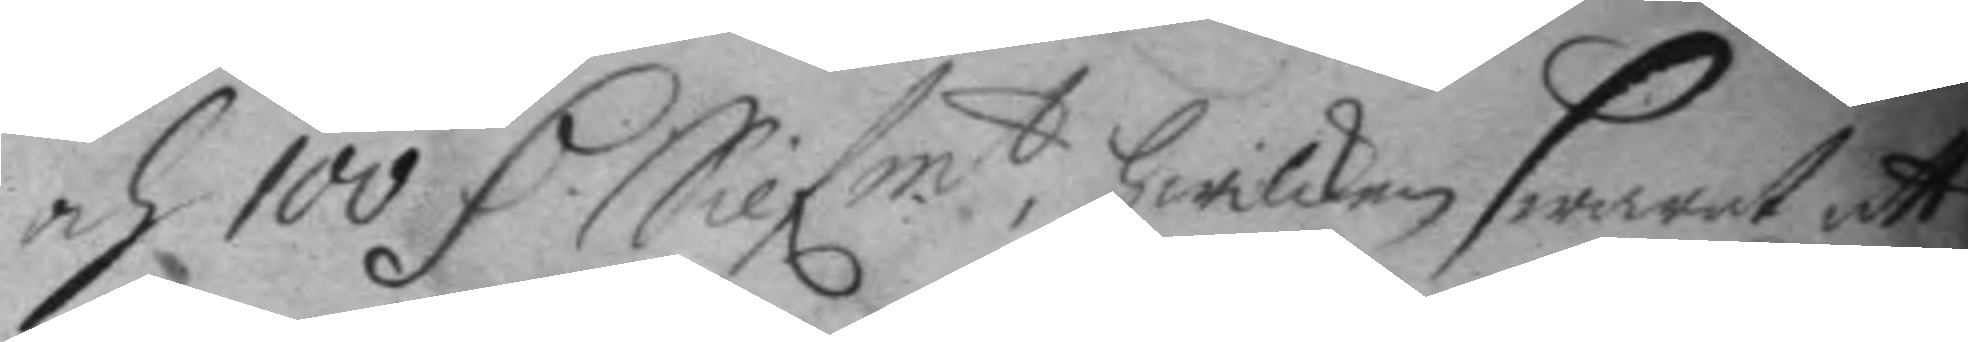och 100 D. Silfmt, hwilken swarat att
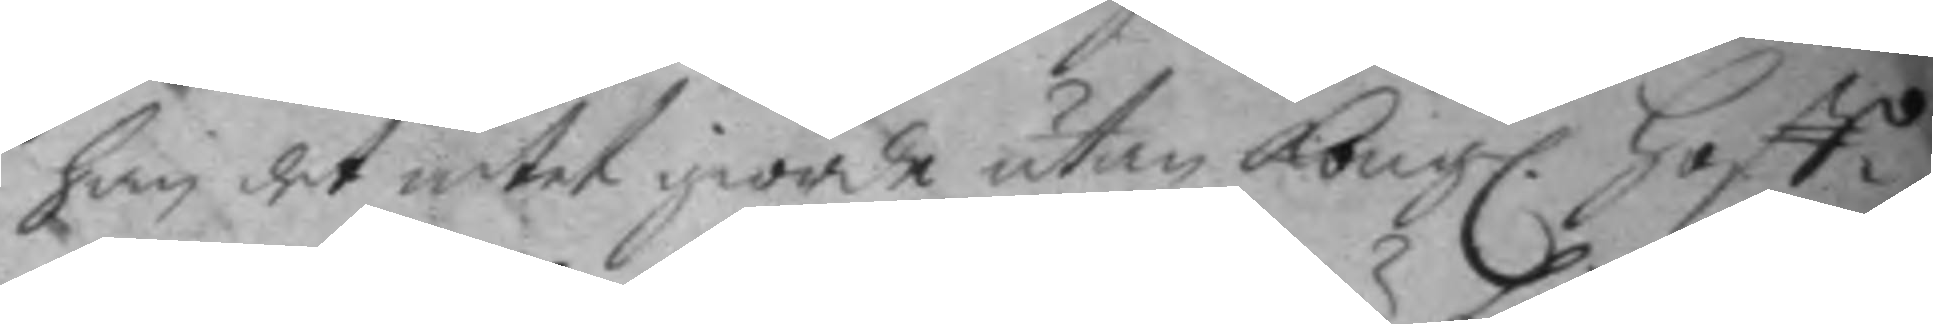han det intet giorde utan Kongl. Hoff¬
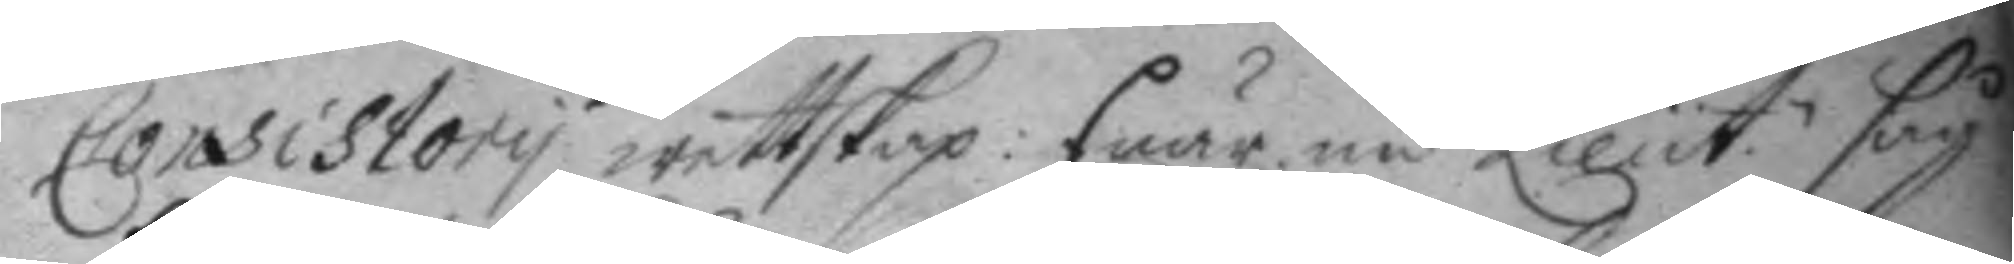Consistory wettskap: Enär nu Lieut. såg
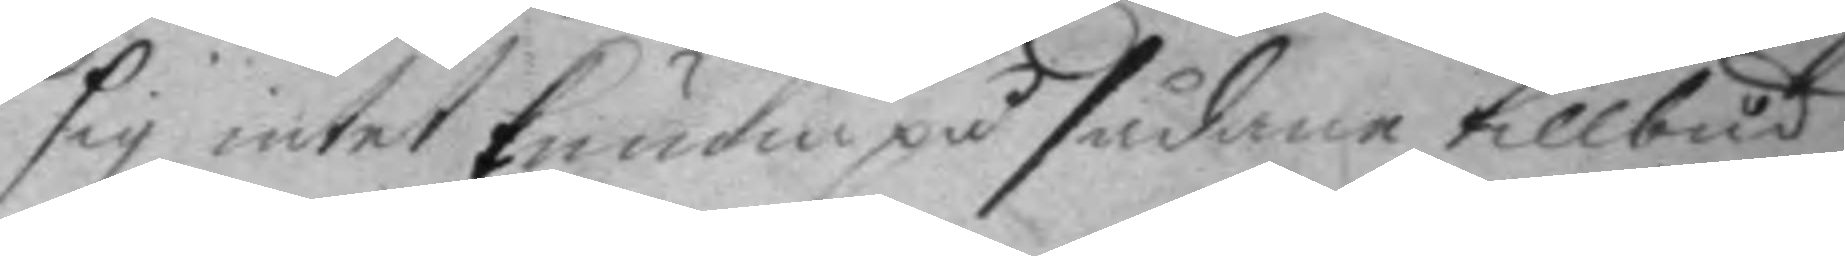sig intet kunna på sådane tillbud
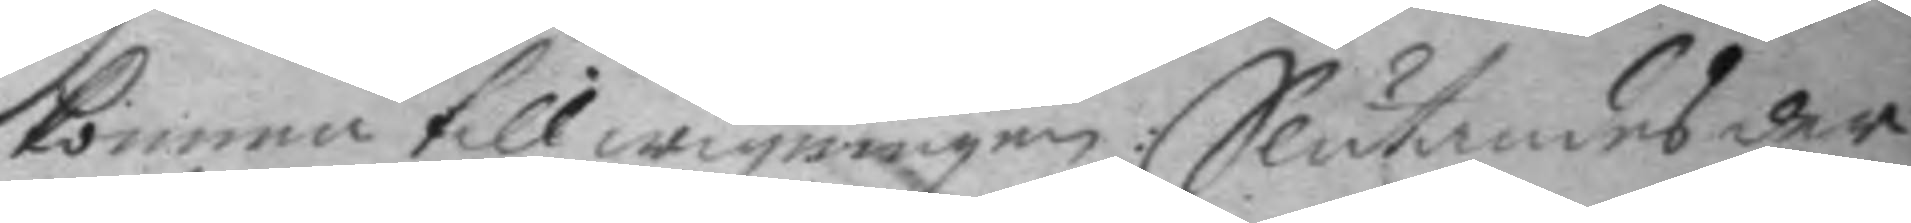komma till wigningen: Slutandes der
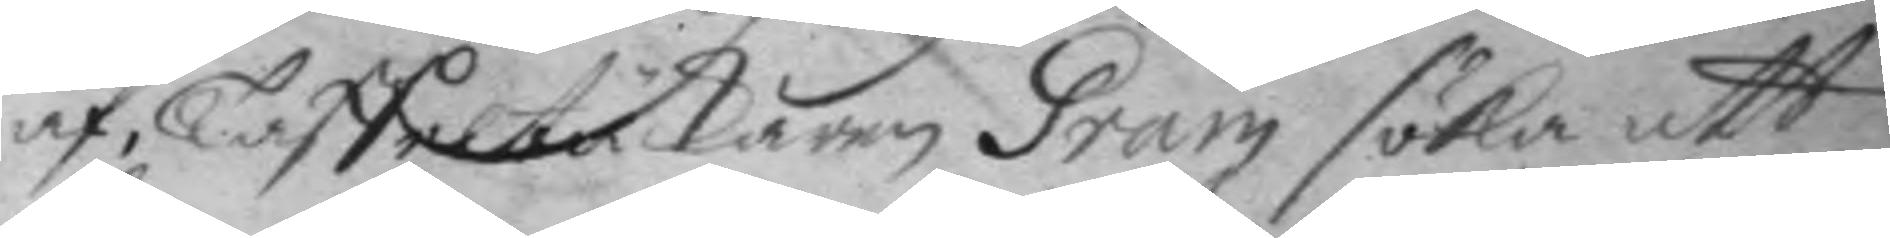af, Taffeltäckaren Gram söka att
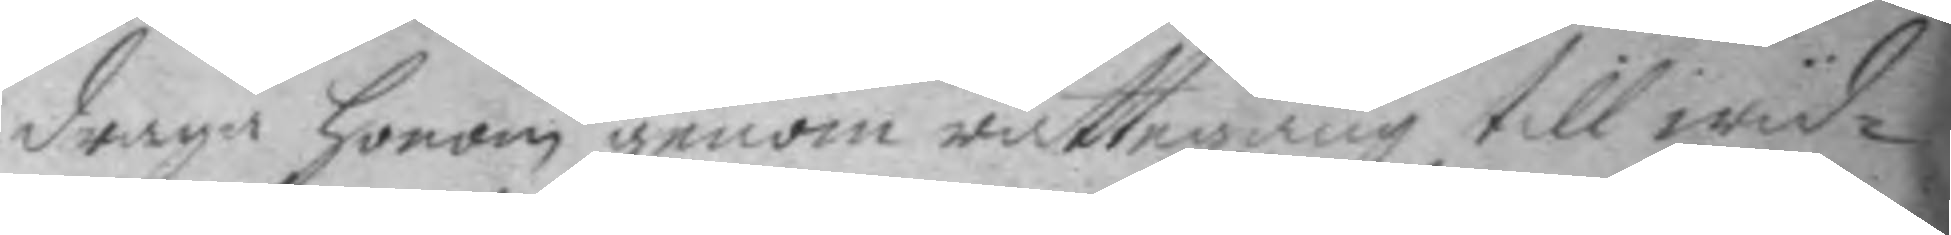draga honom genom rättegång till wyd¬
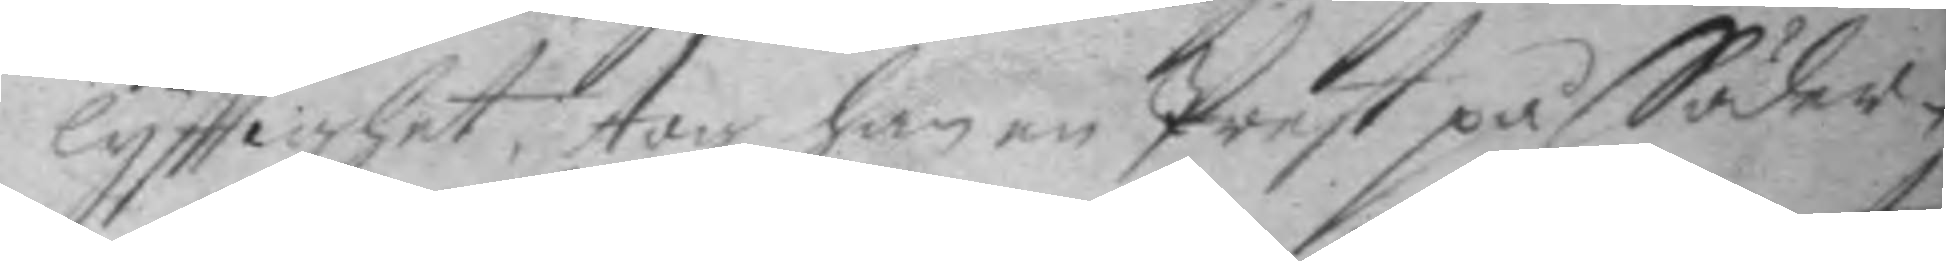lyfttighet, tog han en Prest på Söder¬
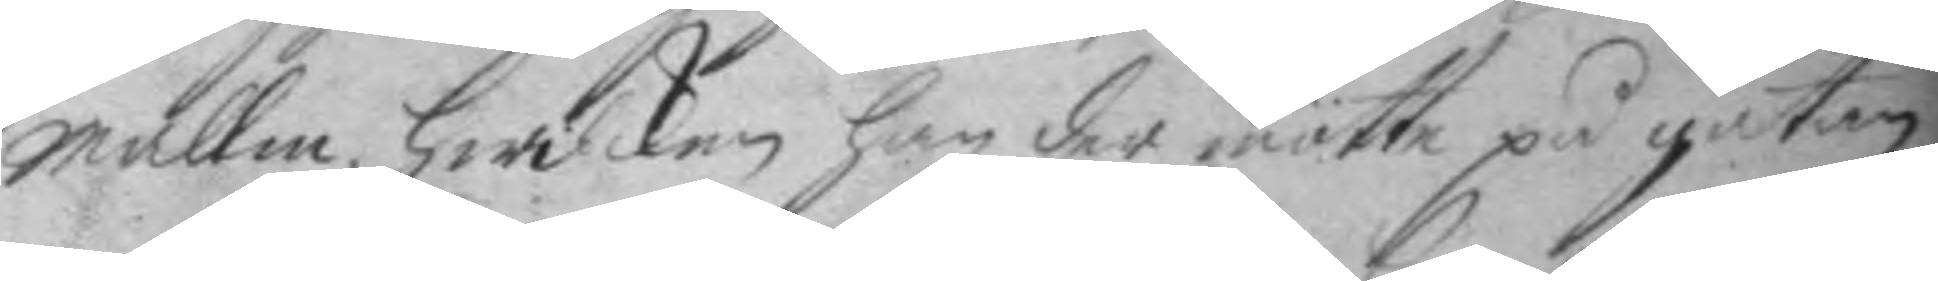mallm, hwilken han der mötte på gatan
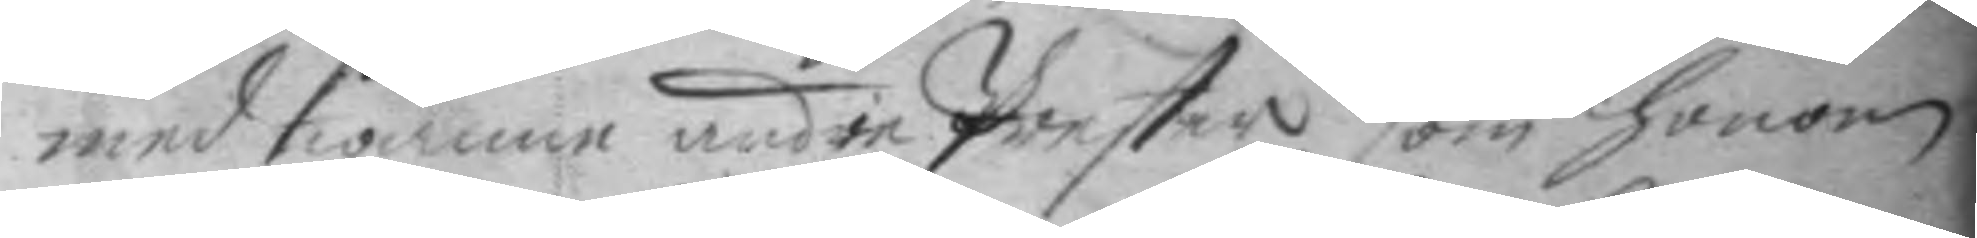med twänne under Prester som honom
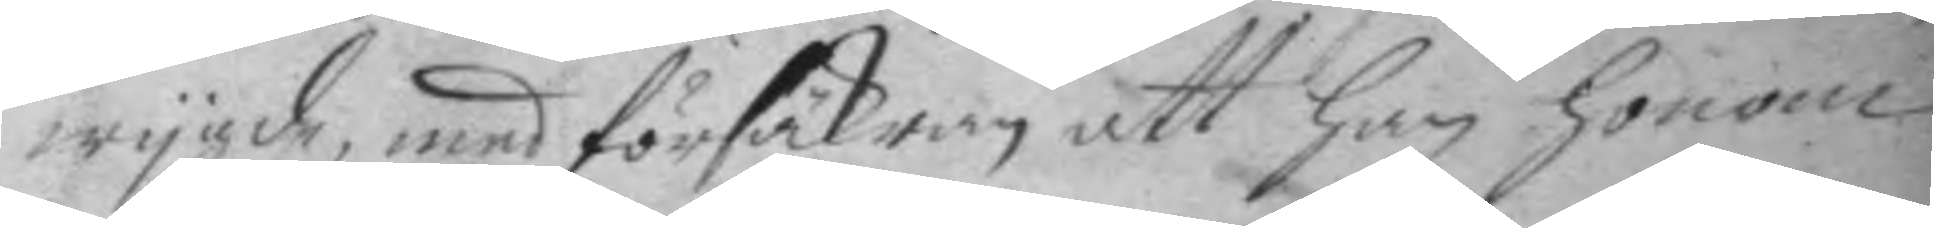wygde, med försäkran att han honom
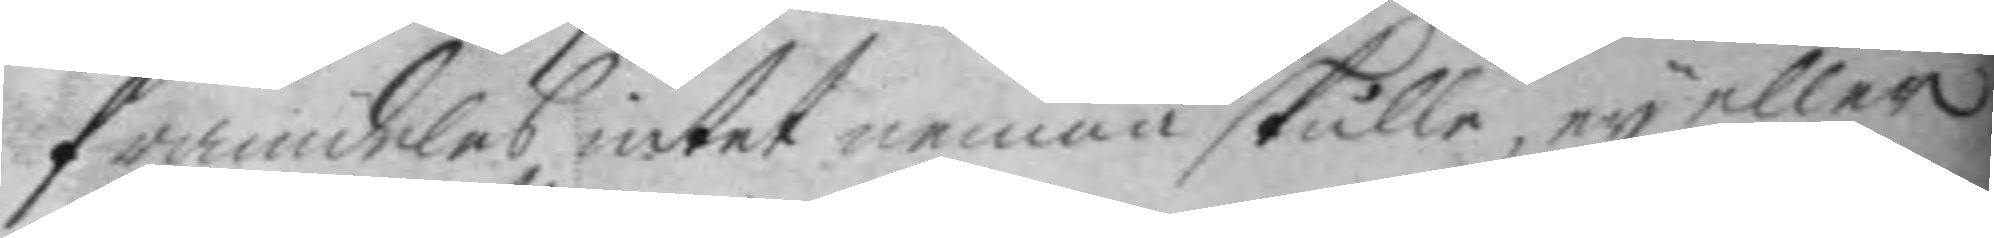framdeles intet nemna skulle, ey eller
